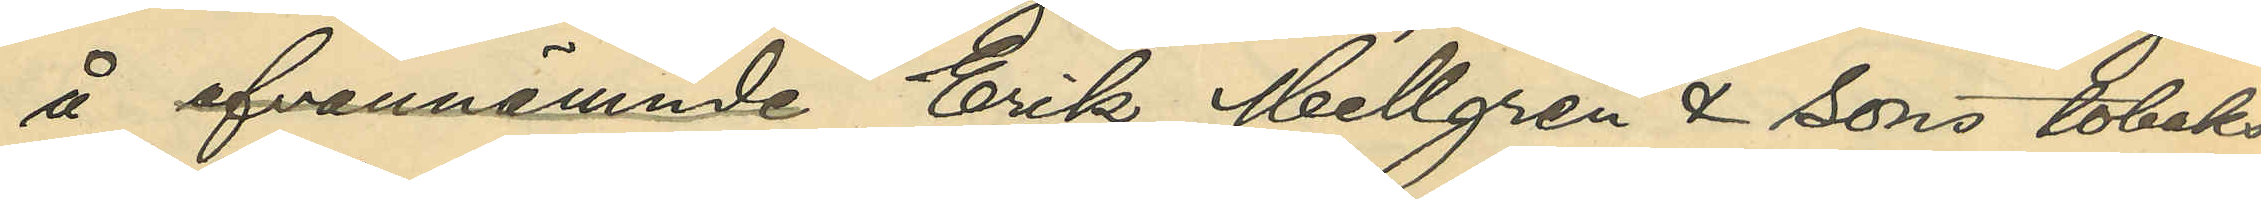å ofvannämnde Erik Mellgren & Sons tobaks¬
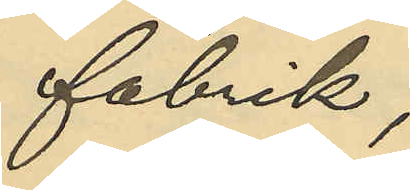fabrik,
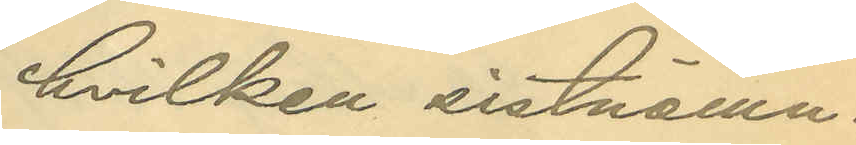hvilken sistnämn¬
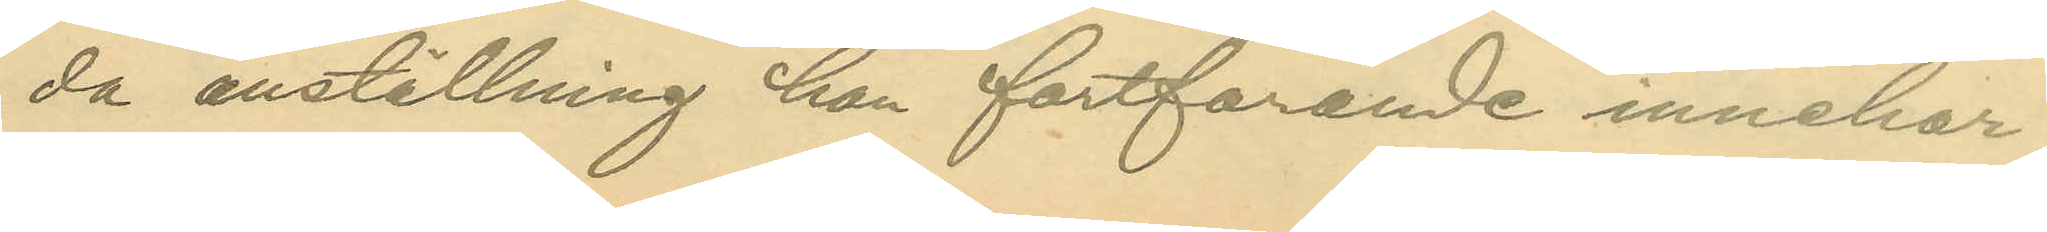da anställning han fortfarande innehar;
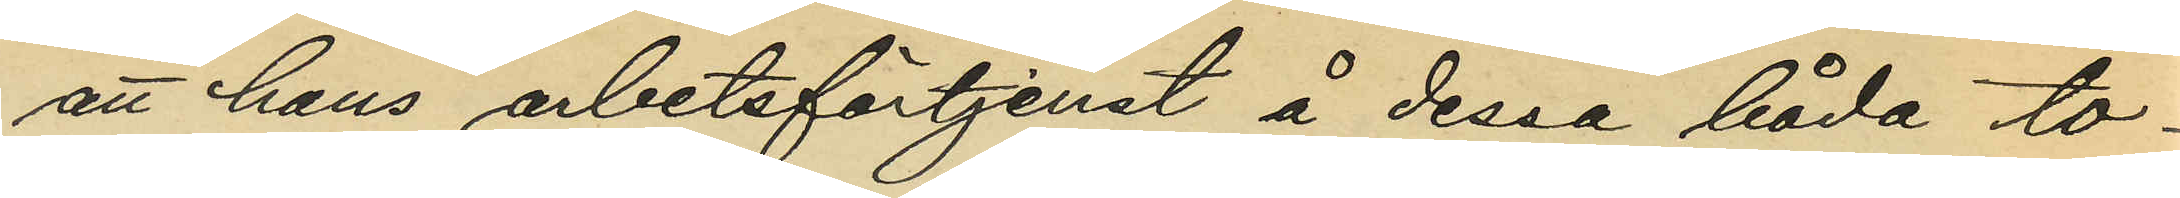att han arbetsförtjenst å dessa båda to¬
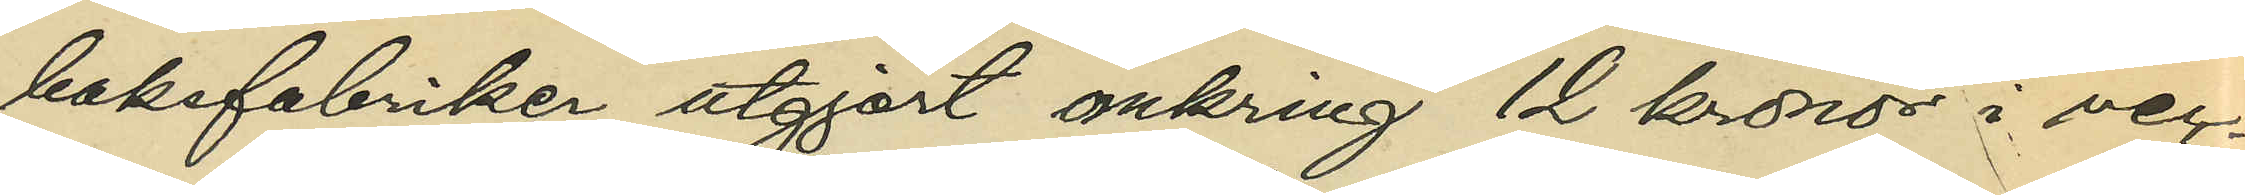baksfabriker utgjort omkring 12 kronor i vec¬
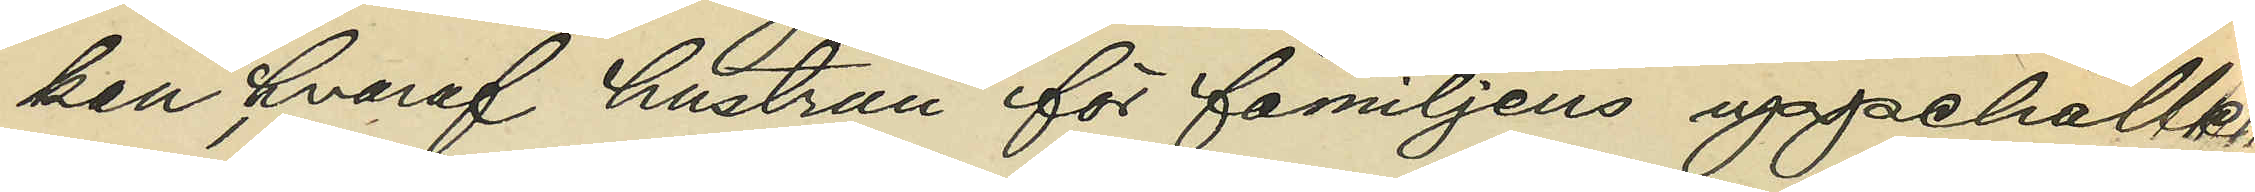kan, hvaraf hustrun för familjens uppehälle
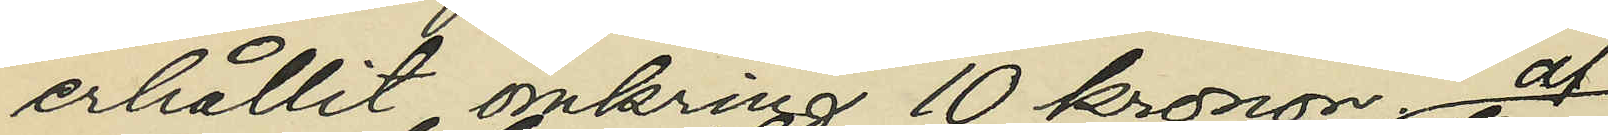erhållit omkring 10 kronor
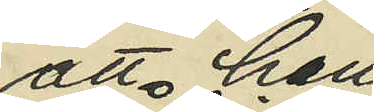att han
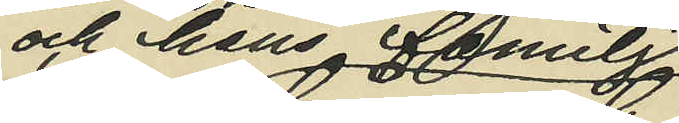och hans familj
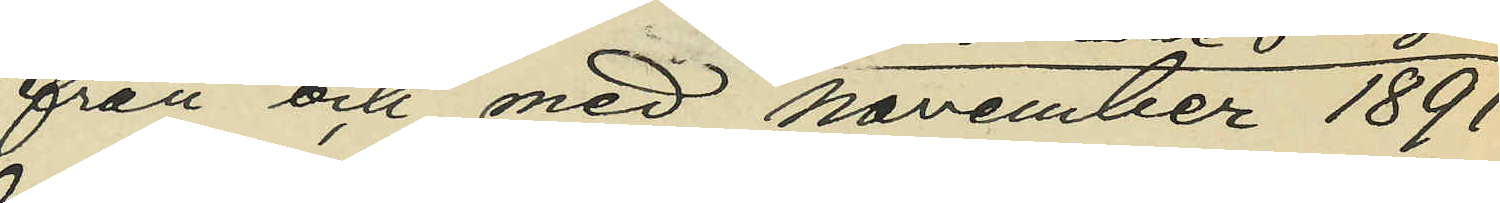från och med november 1891
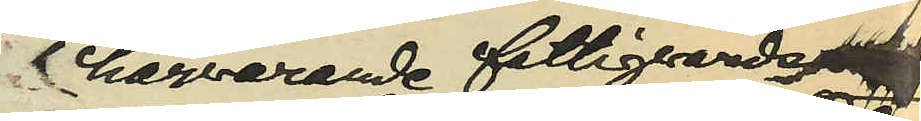af härvarande fattigvård
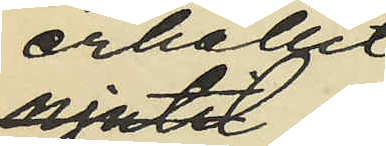erhållit
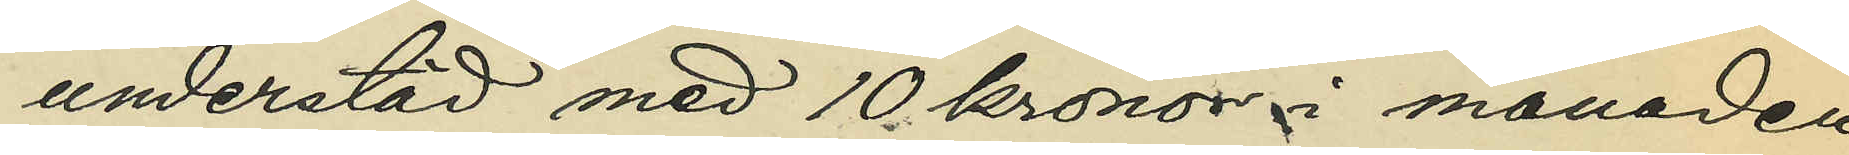understöd med 10 kronor i månaden
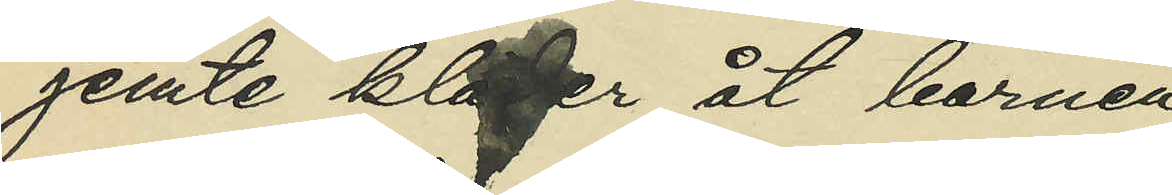jemte kläder åt barnen
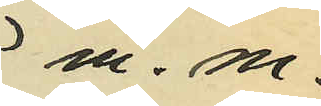m. m.
